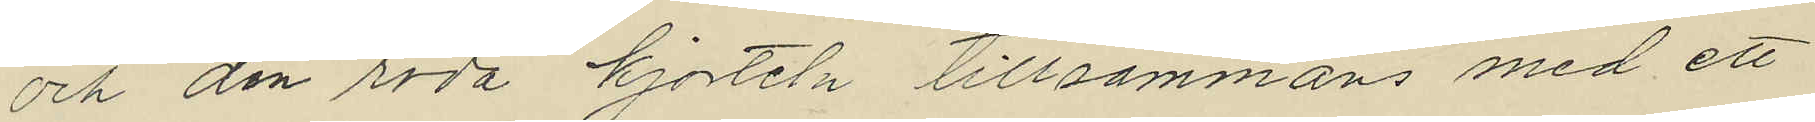och den röda kjorteln tillsammans med ett
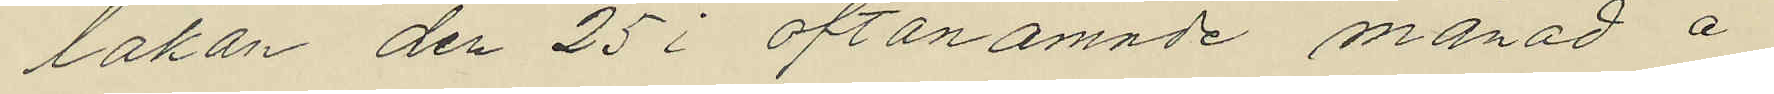lakan den 25 i oftanämnde månad å
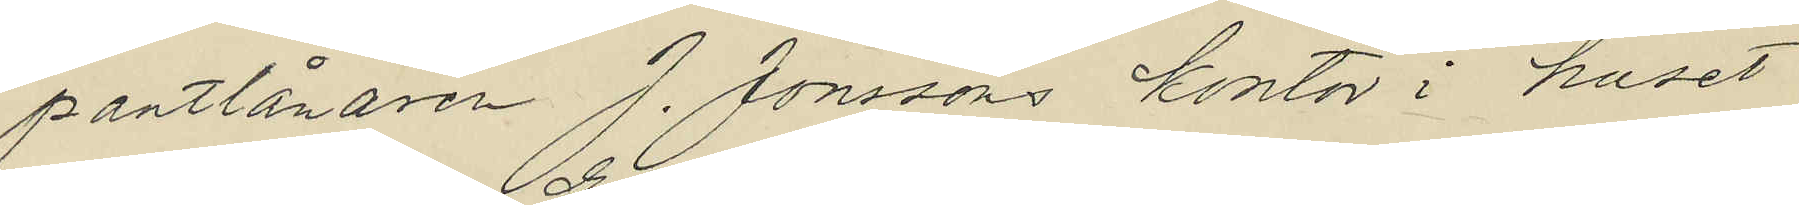pantlånaren J. Jonssons kontor i huset
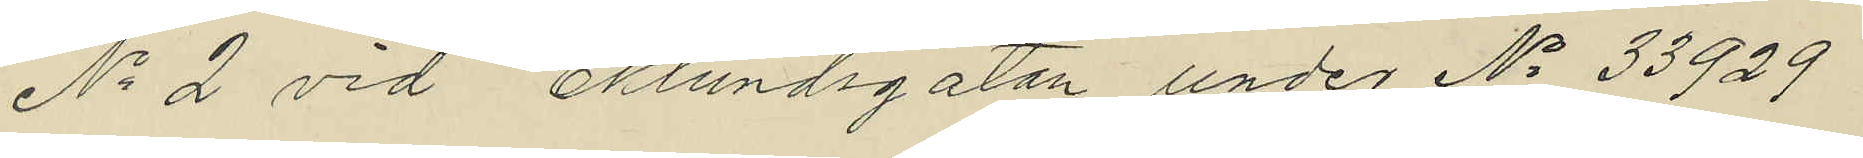No 2 vid Eklundsgatan under No 33929
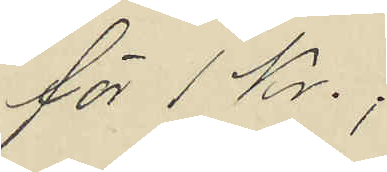för 1 Kr.;
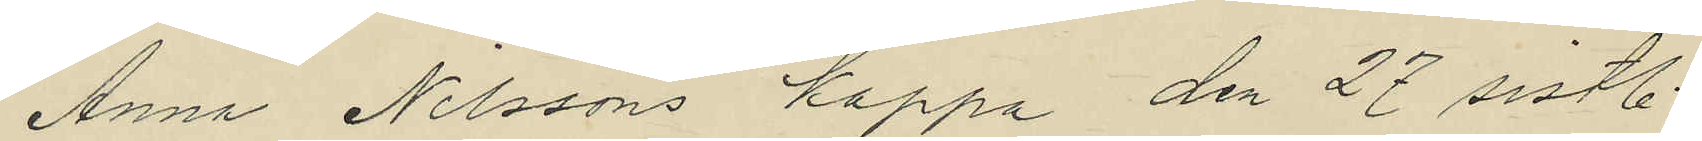Anna Nilssons kappa den 27 sistl
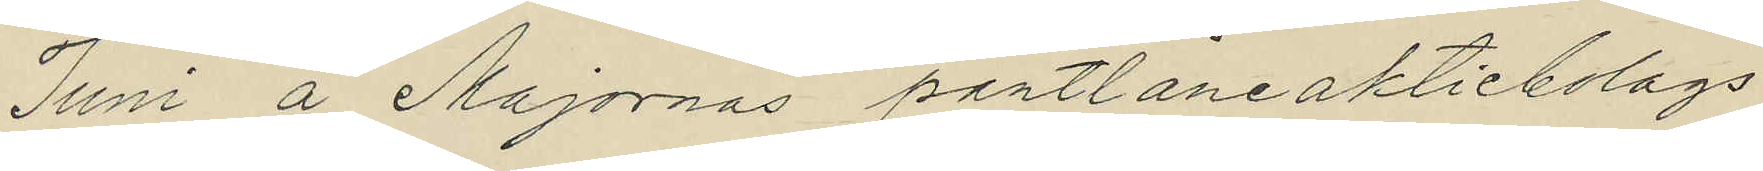Juni å Majornas pantlåneaktiebolags
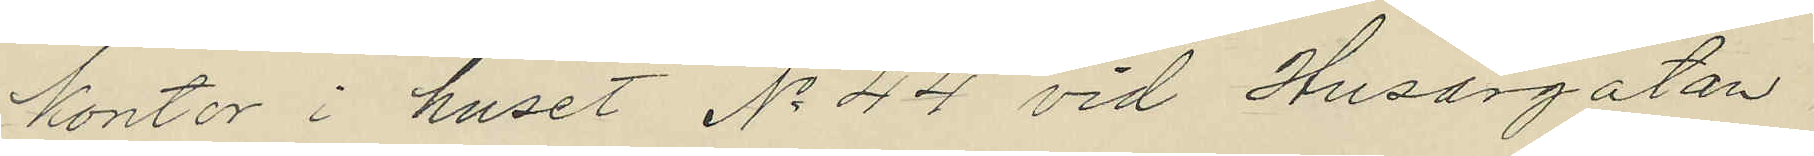kontor i huset No 44 vid Husargatan
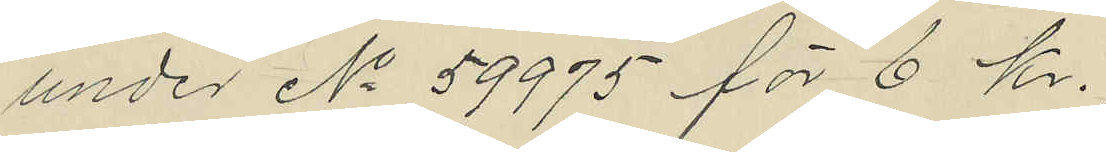under No 59975 för 6 kr.
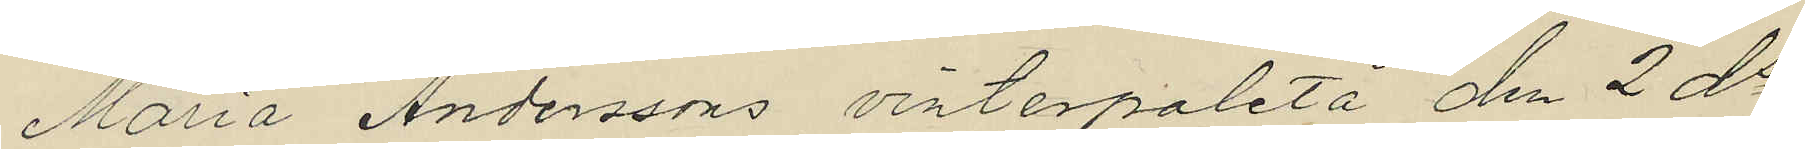Maria Anderssons vinterpaletå den 2 ds
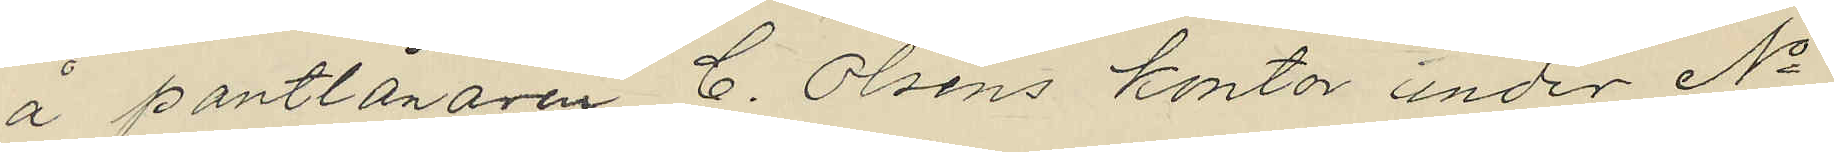å pantlånaren C. Olséns kontor under No
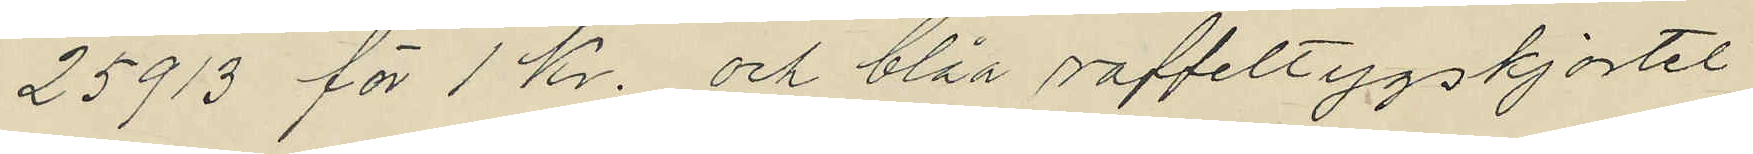25913 för 1 Kr. och blåa raffeltygskjortel
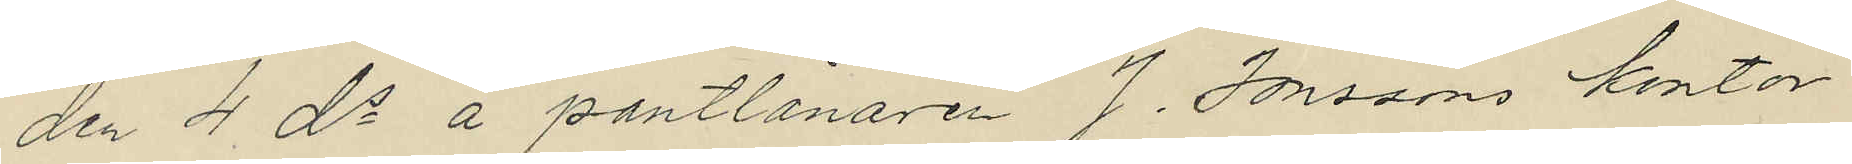den 4 ds å pantlånaren J. Jonsons kontor
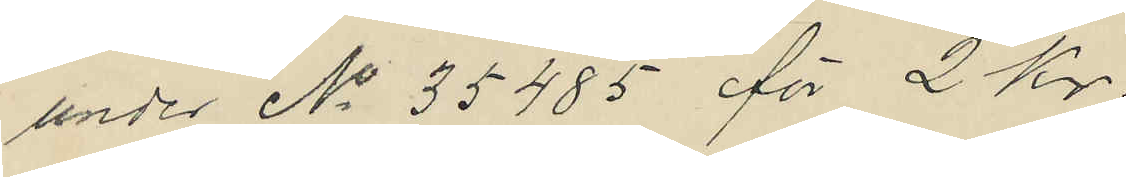under No 35485 för 2 Kr.
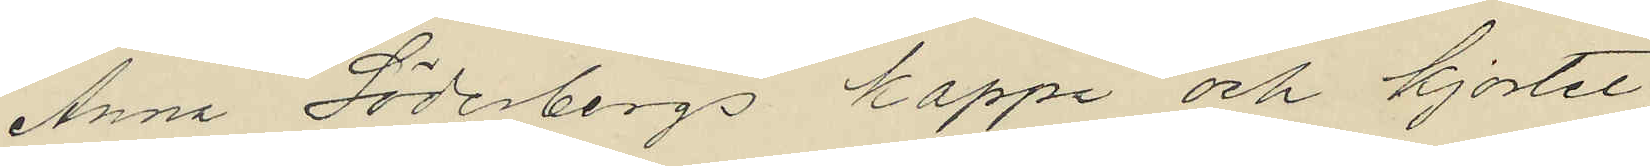Anna Söderbergs kappa och kjortel
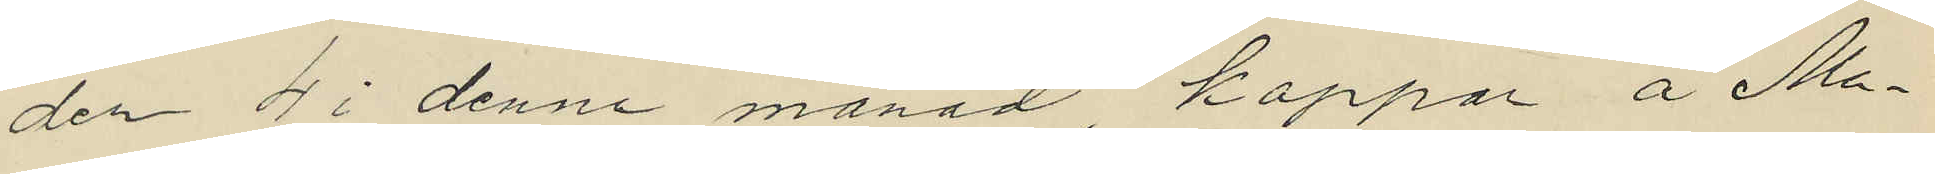den 4 i denna månad kappan å Ma¬
